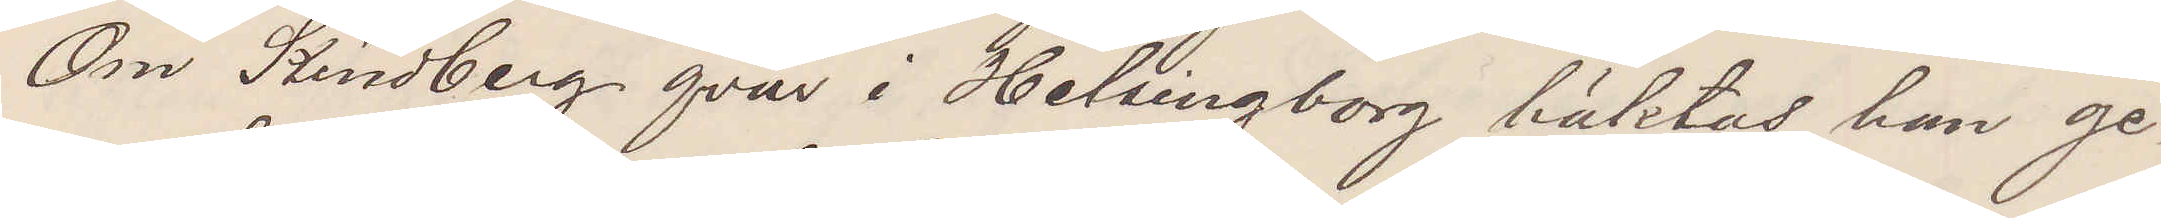Om Kindberg qvar i Helsingborg häktas han ge¬
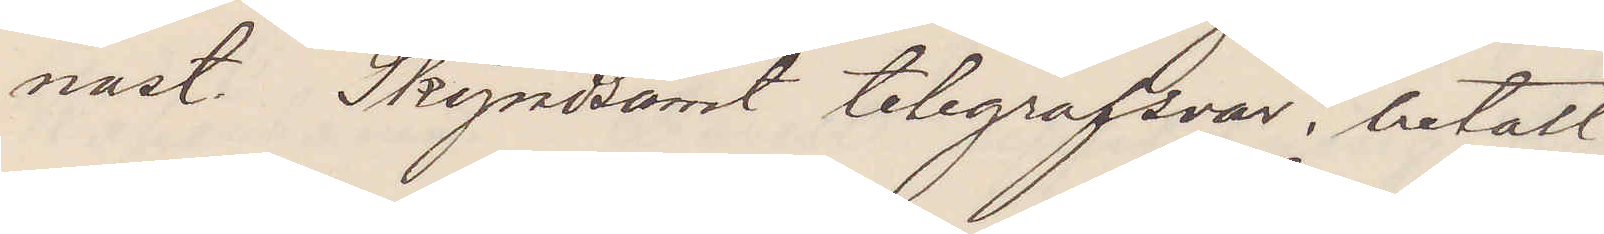nast. Skyndsamt telegrafsvar, betalt
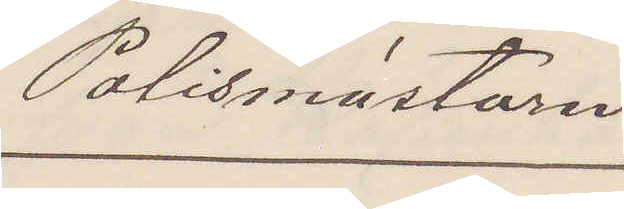Polismästaren
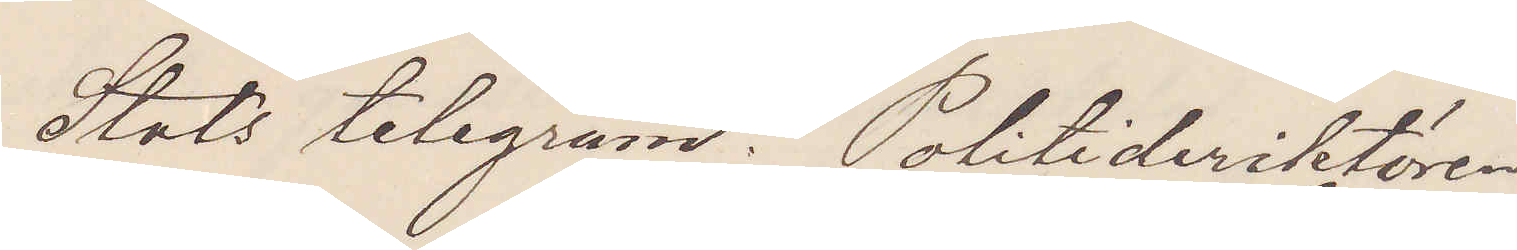Stats telegram. Politidirektören
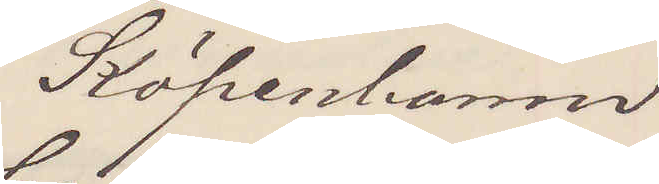Köpenhamn
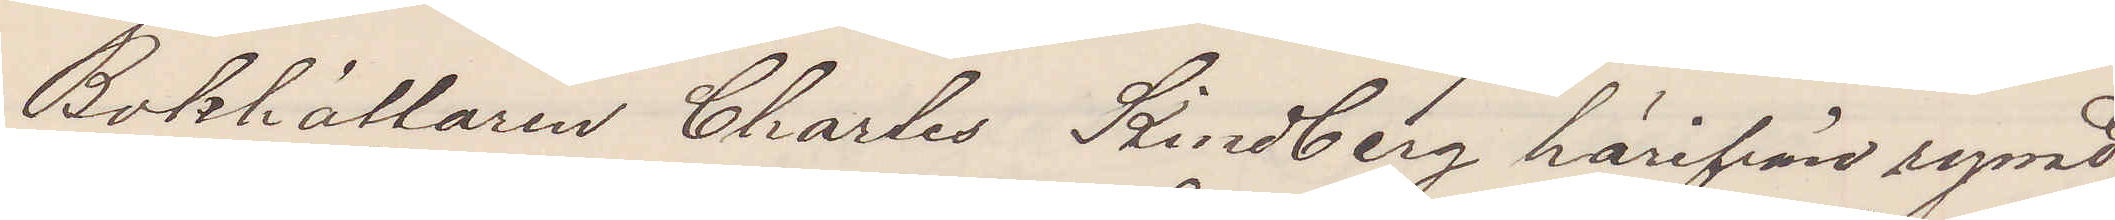Bokhållaren Charles Kindberg härifrån rymt
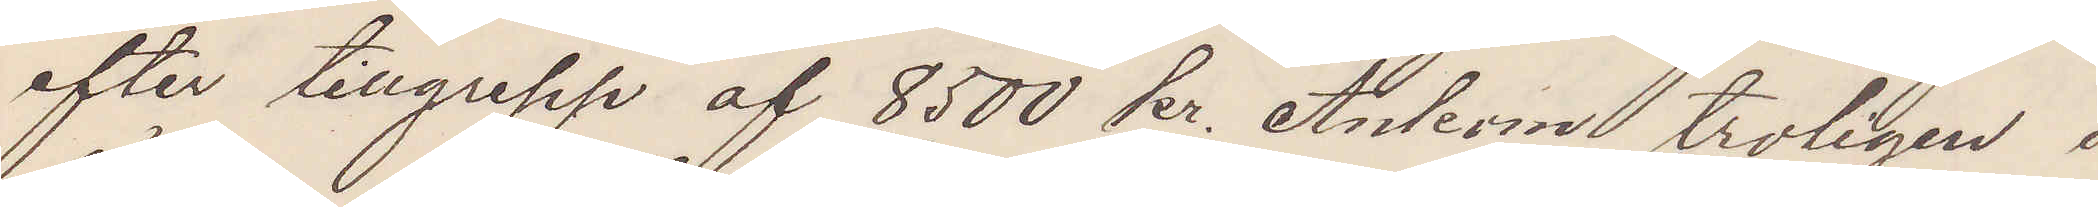efter tillgrepp af 8,500 kr. Ankom troligen i
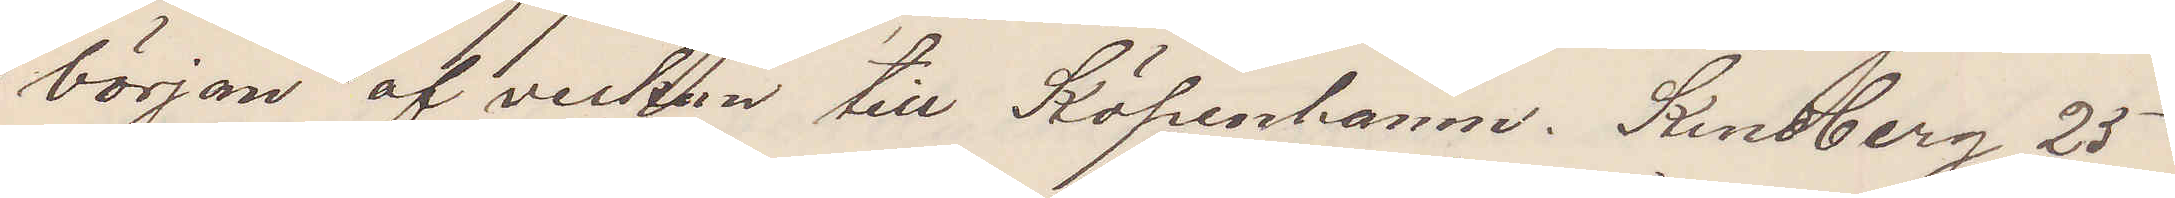början af veckan till Köpenhamn. Kindberg 25
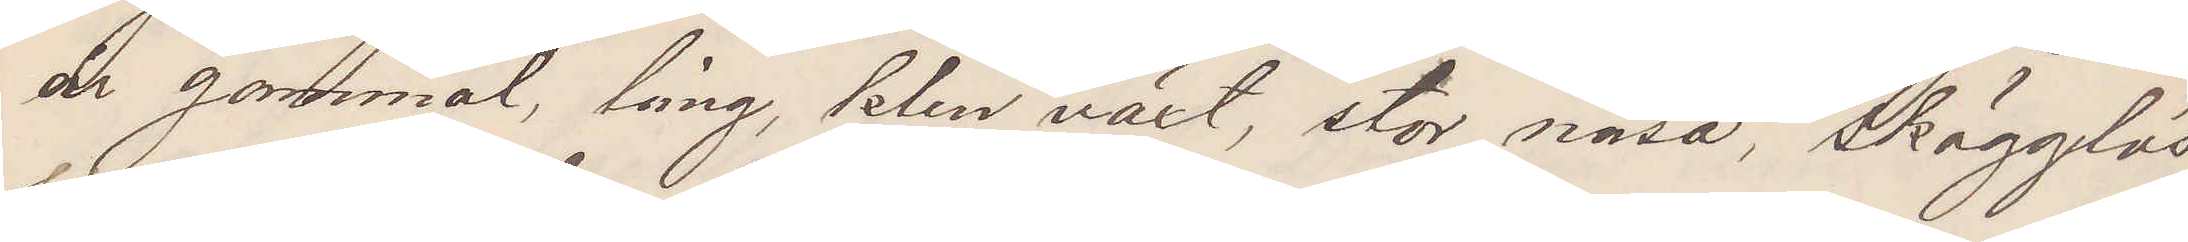år gammal, lång, klen växt, stor näsa, Skägglös
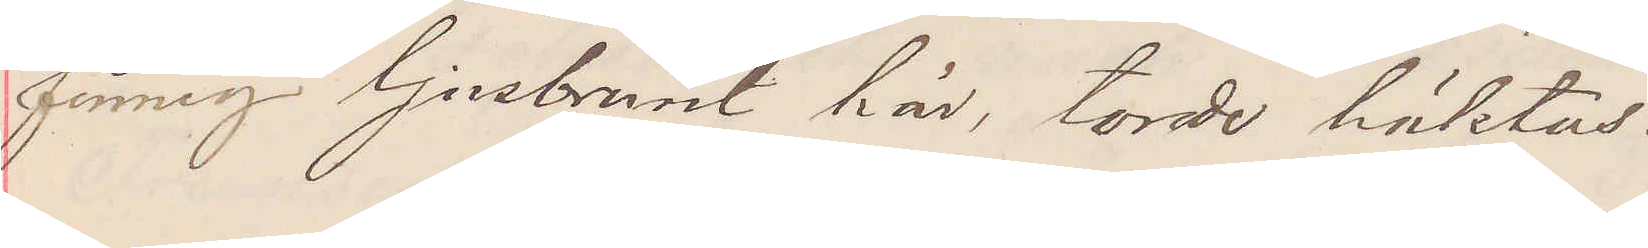finnig ljusbrunt hår, torde häktas.
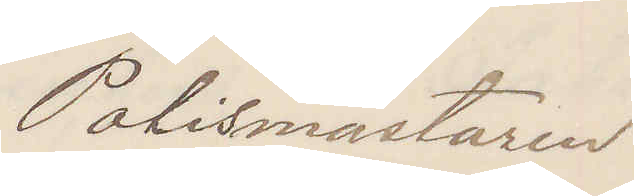Polismästaren
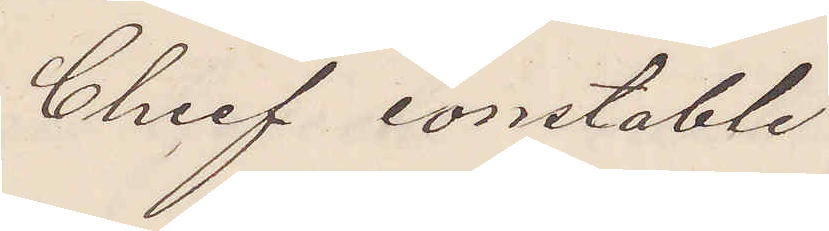Chief constable
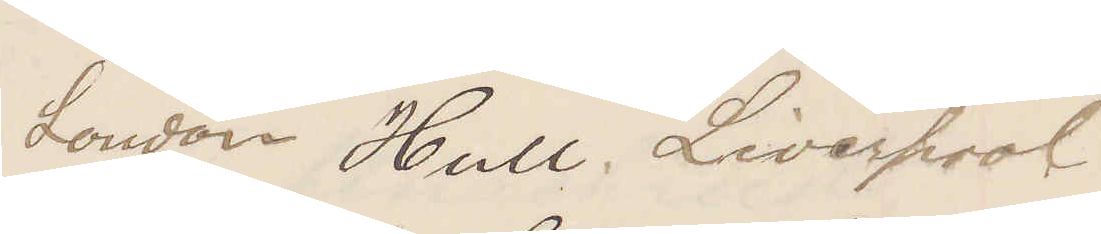London Hull. Liverpool
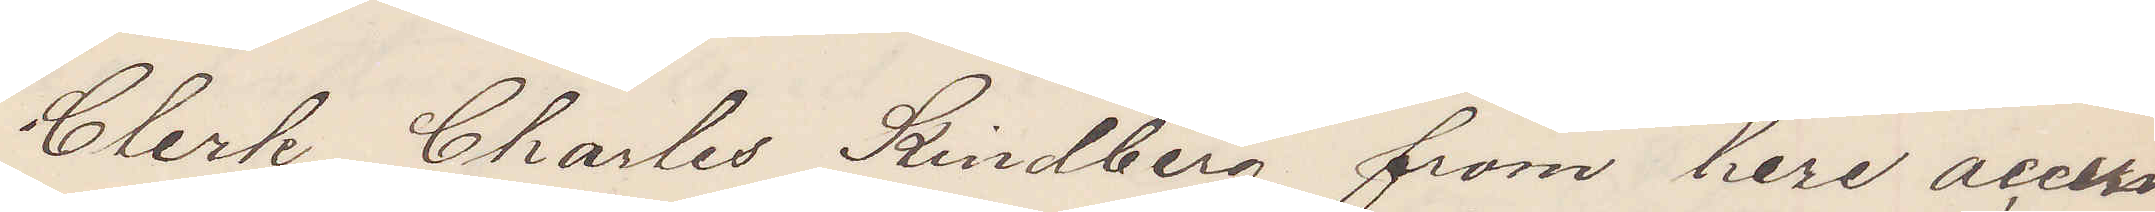Clerk Charles Kindberg from here accu¬
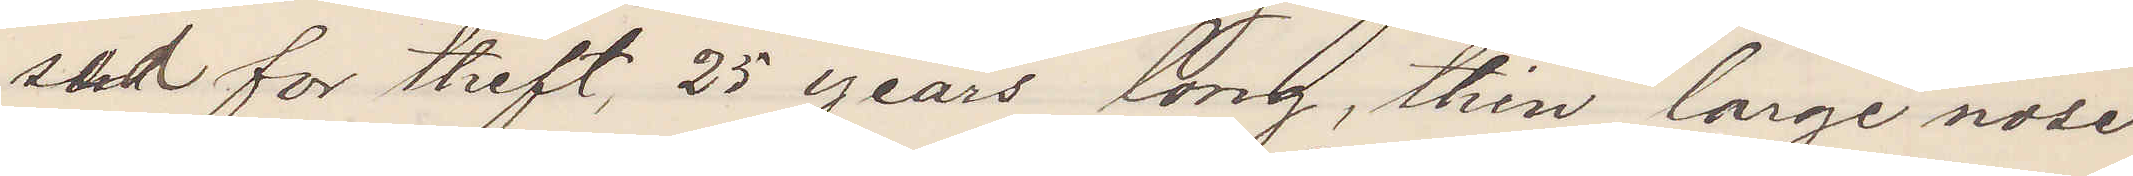sed for theft, 25 years long, thin large nose
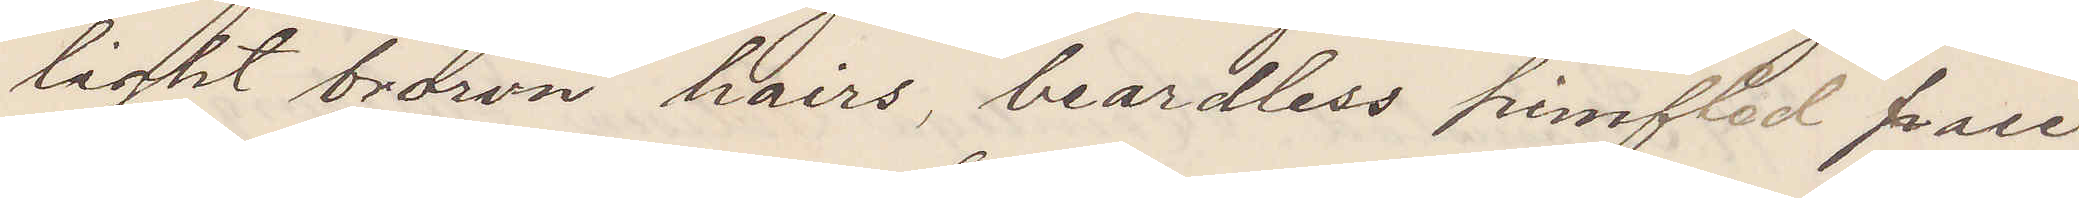light brown hairs, beardless pimpled face
